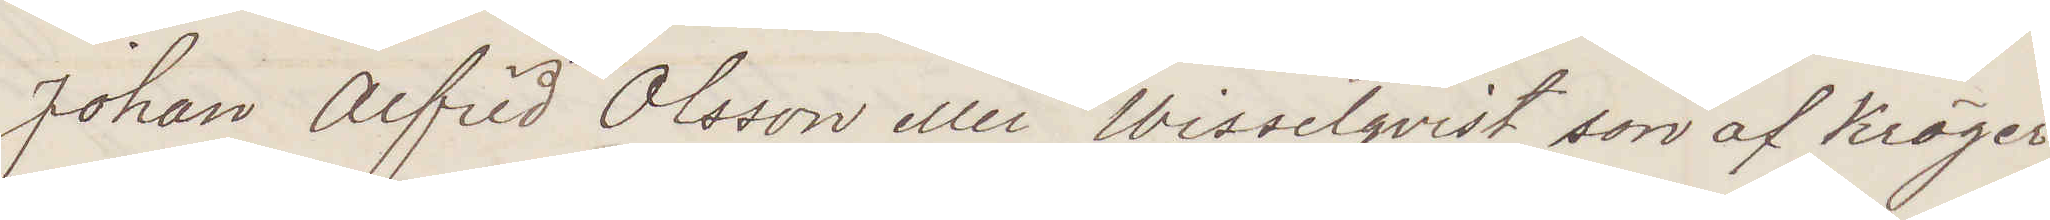Johan Alfrid Olsson eller Wisselqvist, son af Kröger¬
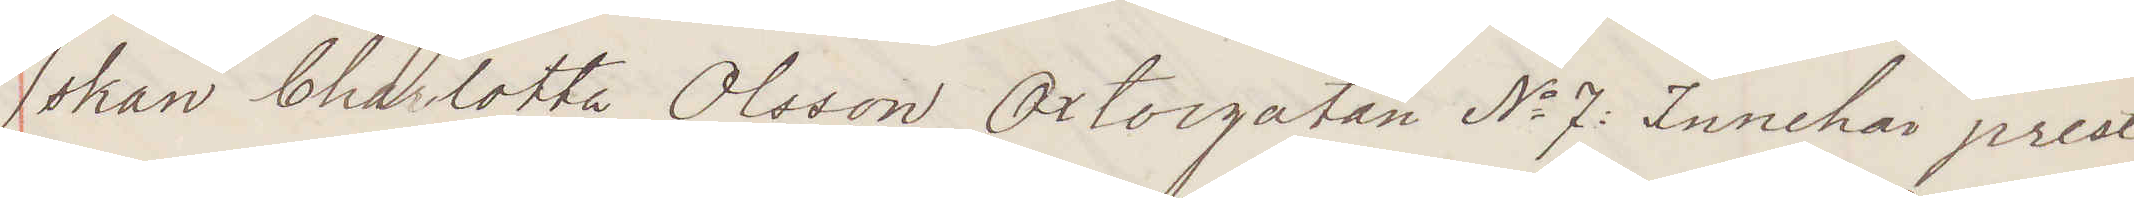skan Charlotta Olsson Oxtorgsgatan No 7: Innehar prest¬
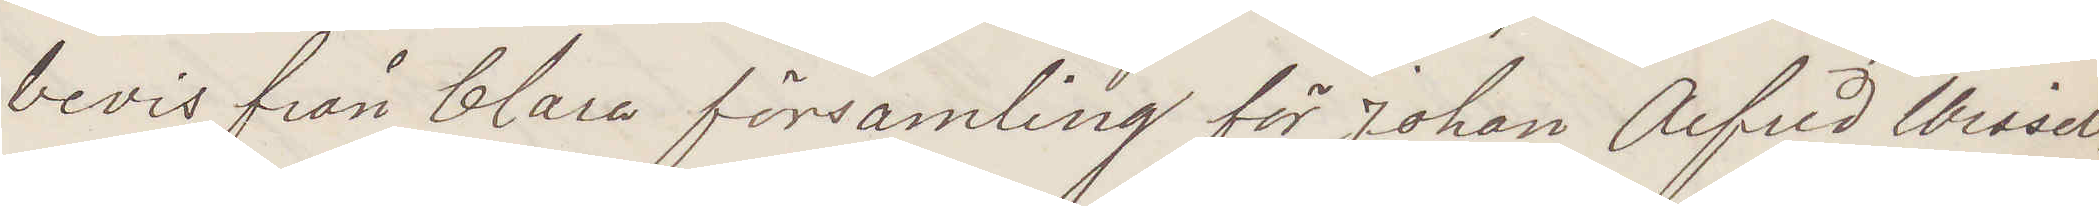bevis från Clara församling för Johan Alfred Wissel¬
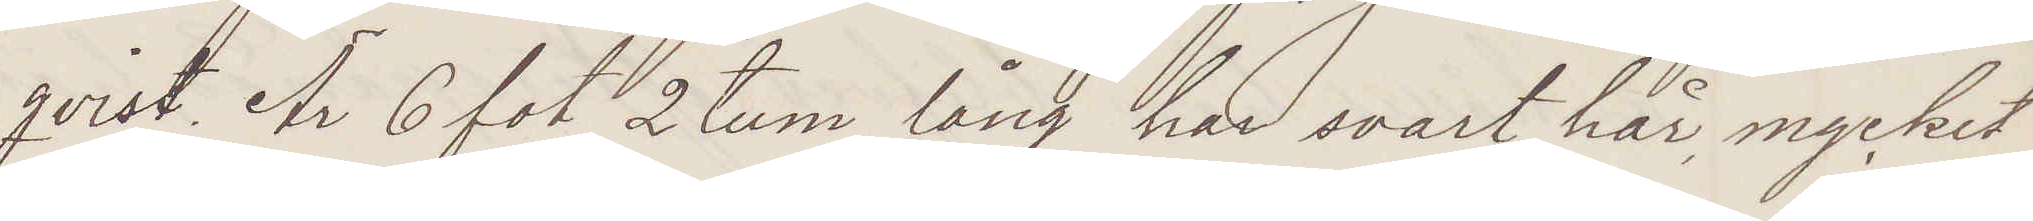qvist. Är 6 fot 2 tum lång, har svart hår, mycket
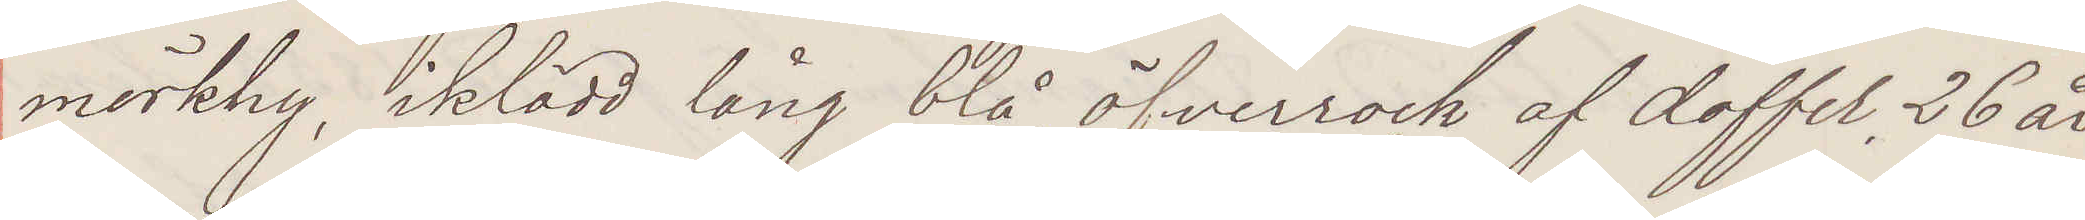mörk hy, iklädd lång blå öfverrock af doffel, 26 år
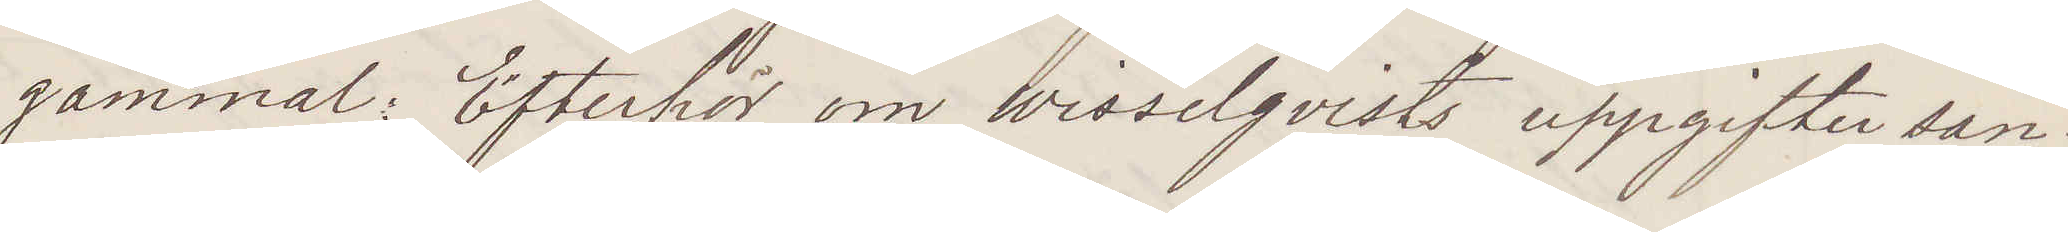gammal: Efterhör om Wisselqvists uppgifter san¬
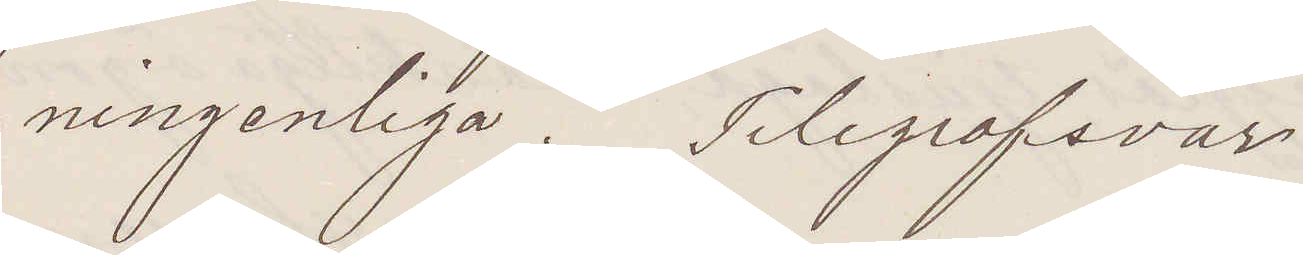ningsenliga. Telegrafsvar
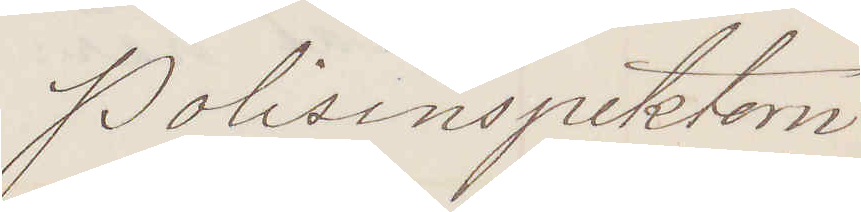Polisinspektorn
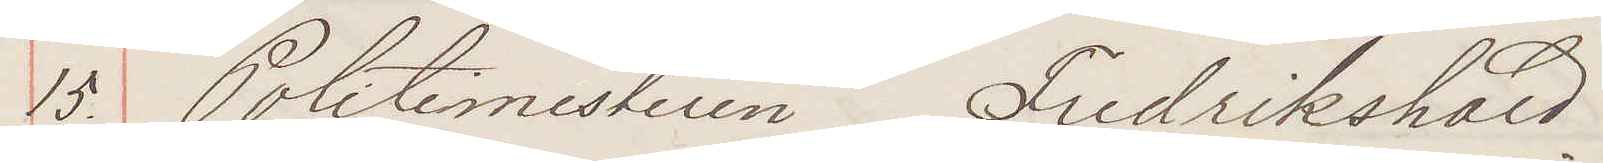15. Politimesteren Fredrikshald
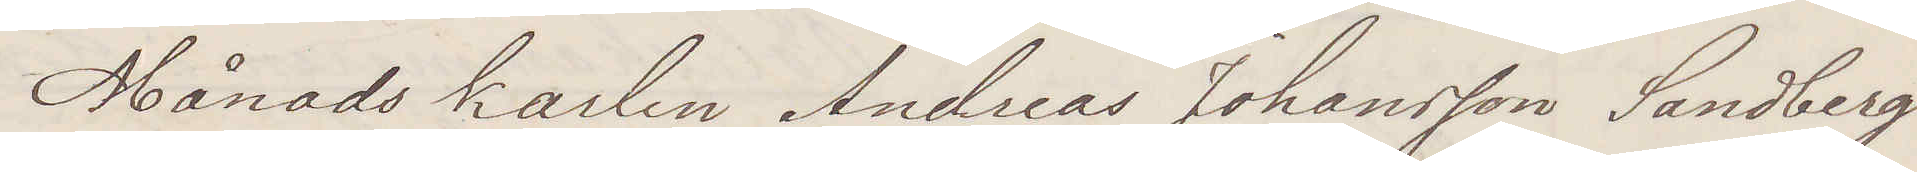Månadskarlen Andreas Johansson Sandberg
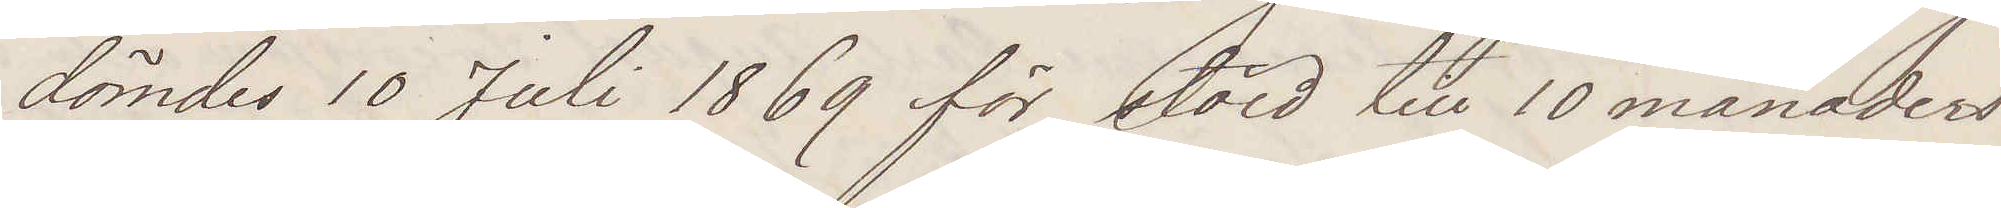dömdes 10 Juli 1869 för stöld till 10 månaders
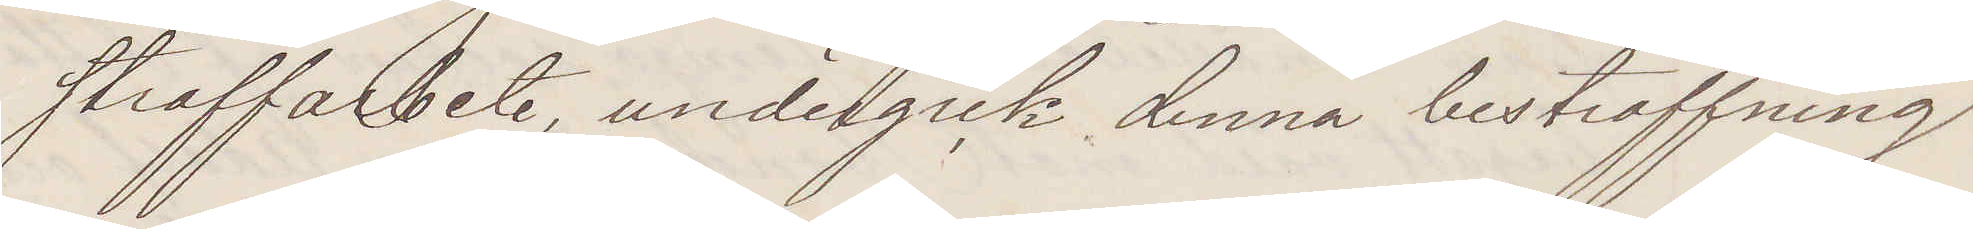straffarbete, undergick denna bestraffning
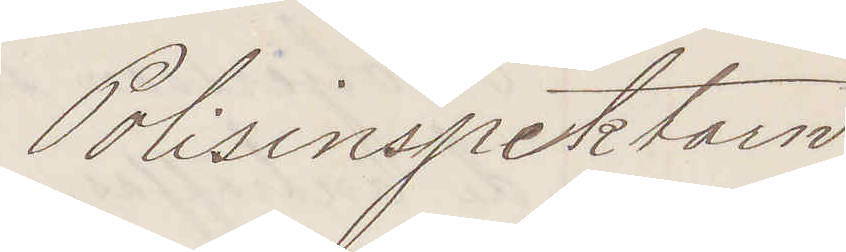Polisinspektorn
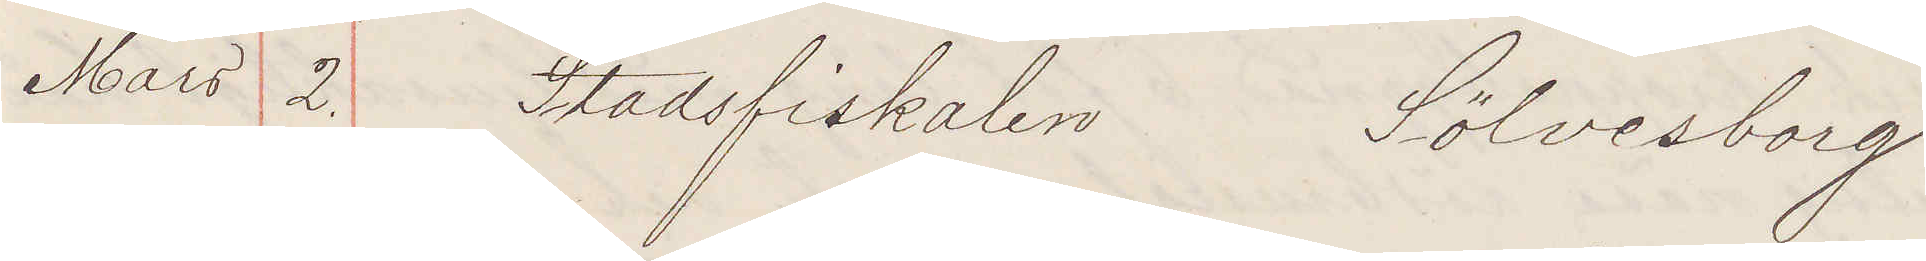Mars 2. Stadsfiskalen Sölvesborg
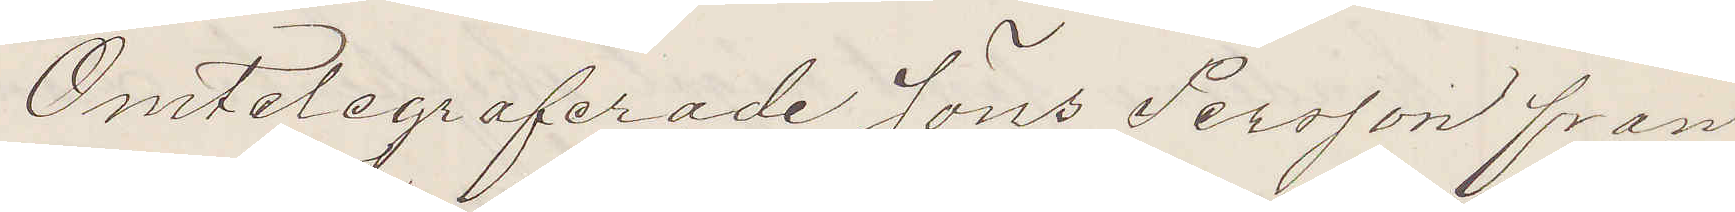Omtelegraferade Jöns Persson fran
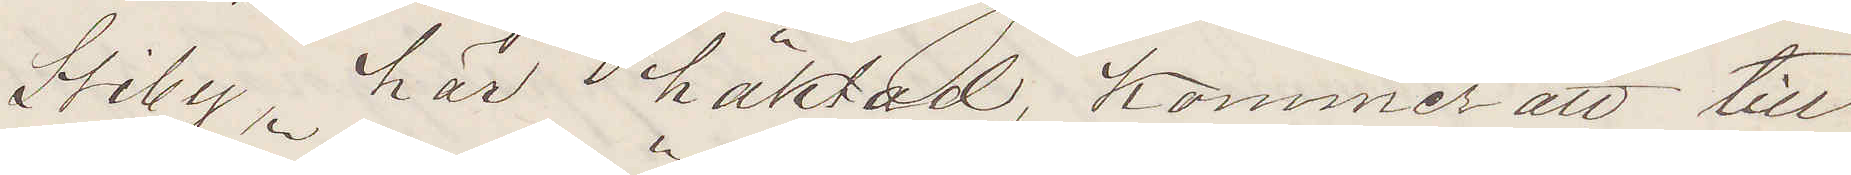Stiby, här häktad, Kommer att till
